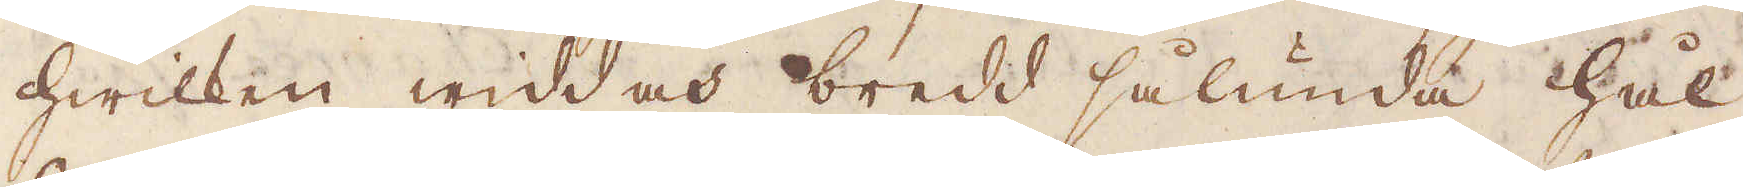hwilken widd och bredd sålunda hål-
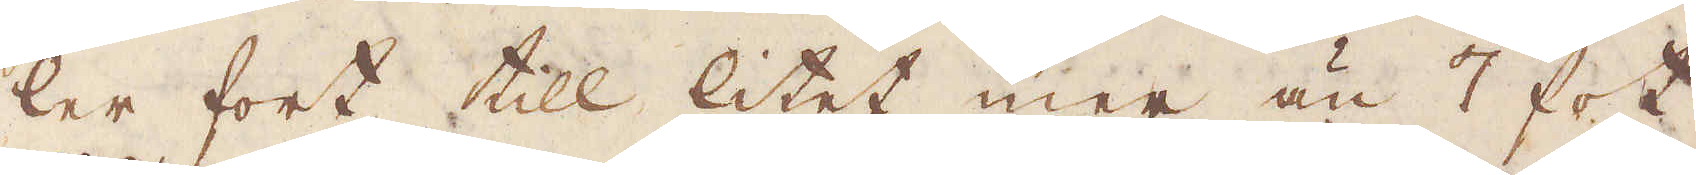ler fort till litet mer än 7 fot
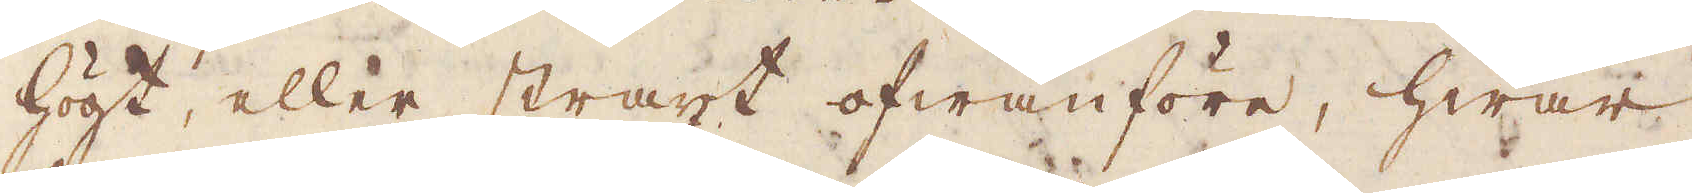högt, eller straxt ofwanföre, hwar
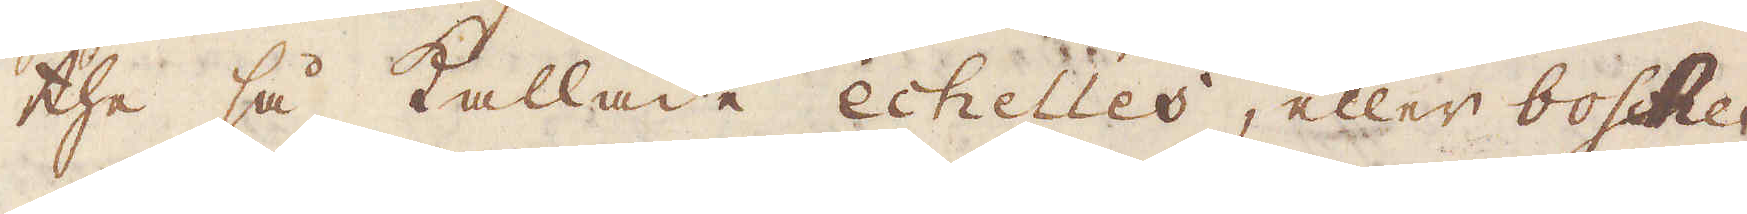the så kallade echelles, eller bosches
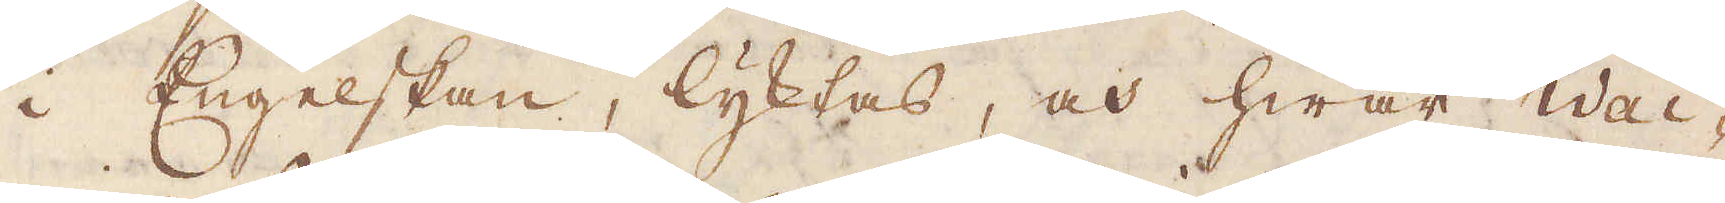i Engelskan, lyktas, och hwar Wai-
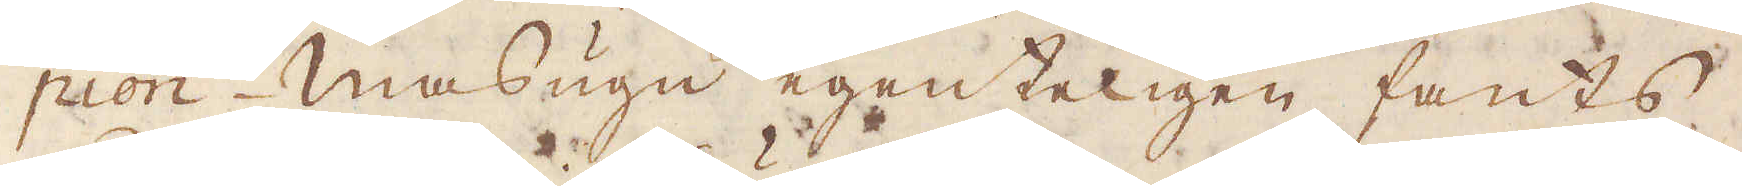pion masugn egenteligen fants
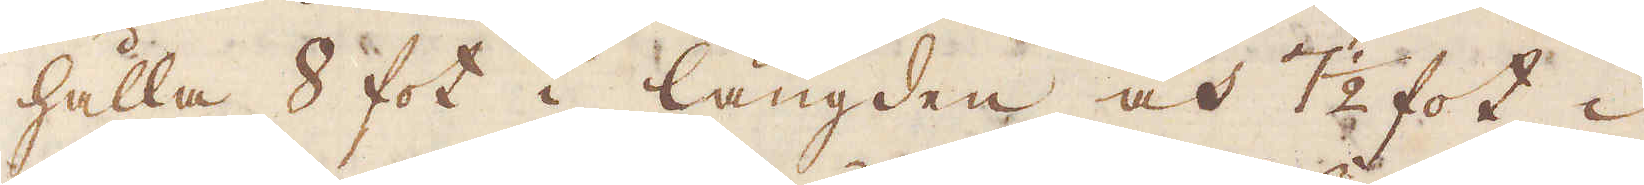hålla 8 fot i längden och 7 1/2 fot i
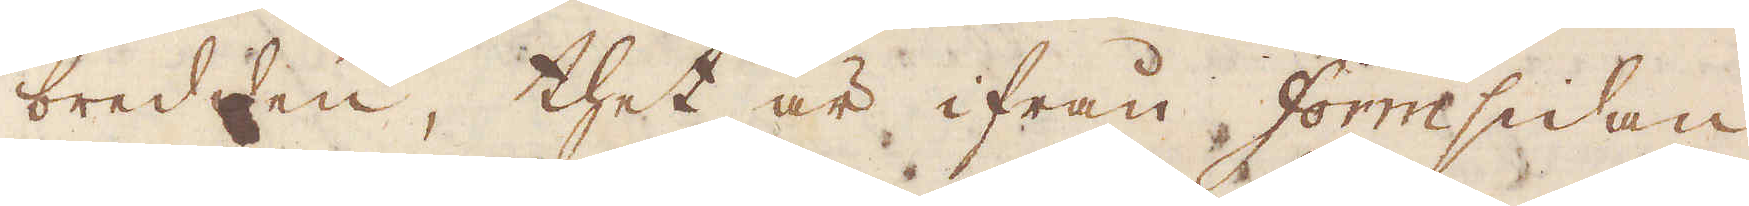bredden, thet är ifrån formsidan
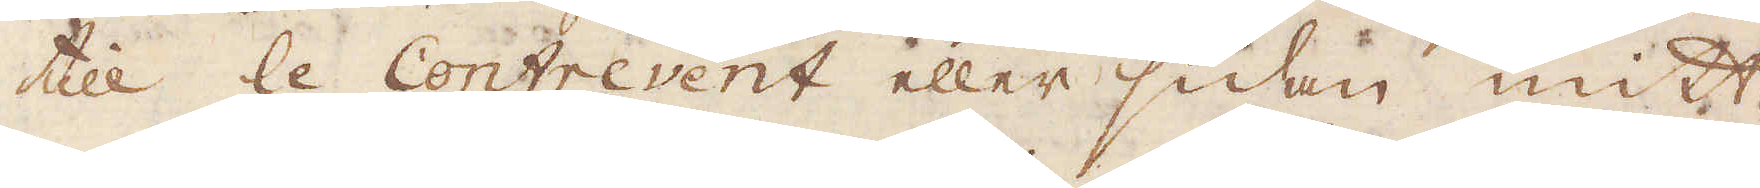till le contrevent eller sidan mitt-
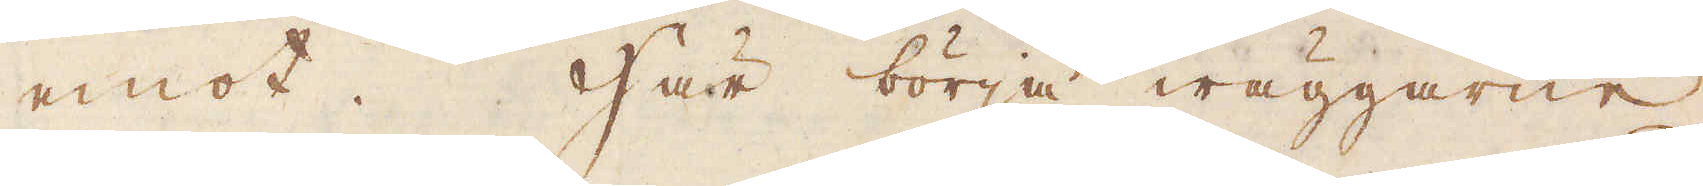emot. Här börja wäggarne
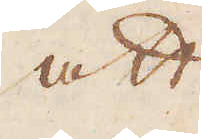att
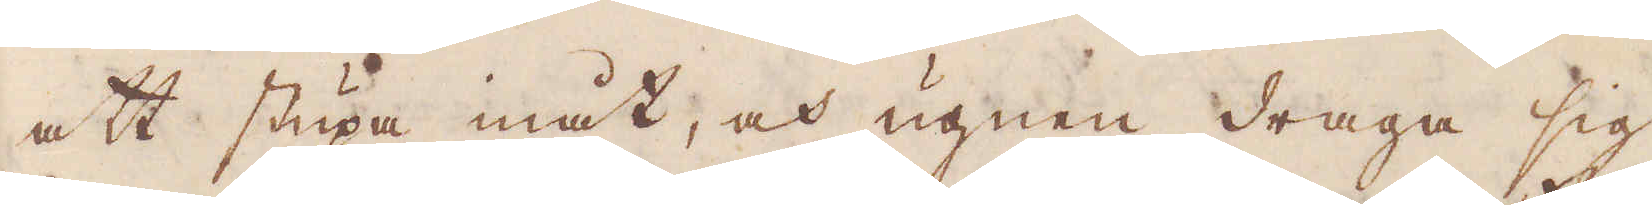att stupa, och ugnen draga sig
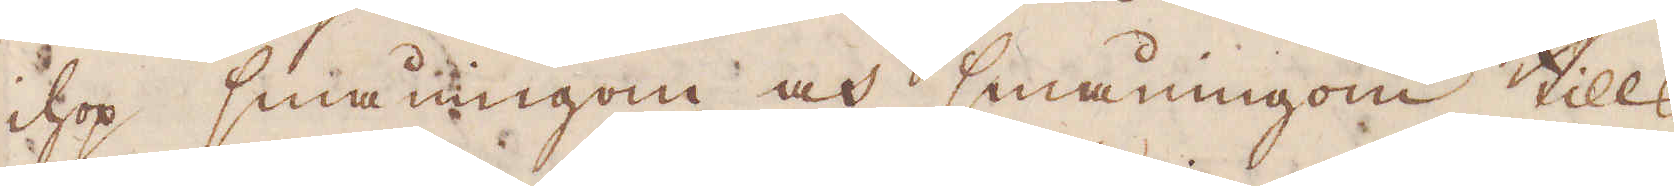ihop småningom och småningom tills
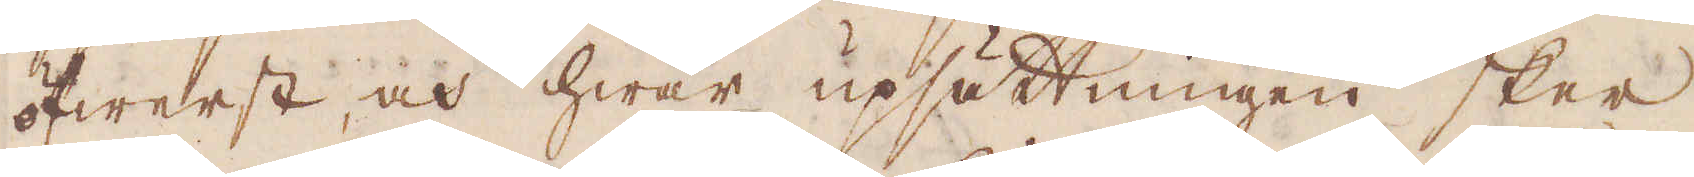öfwerst, och hwar upsättningen sker,
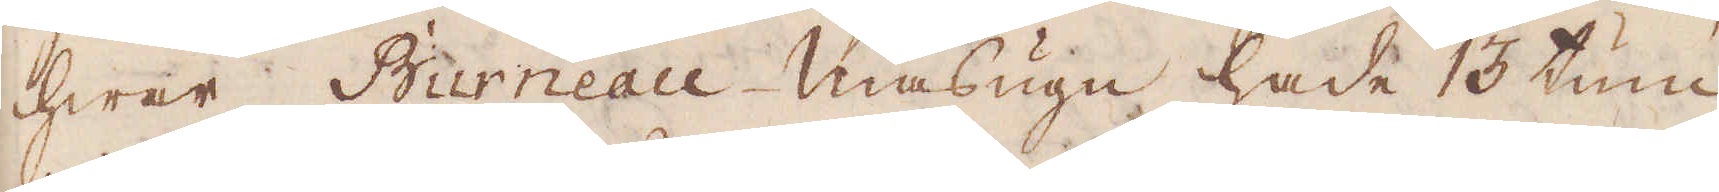hwar Burneau-masugn hade 13 tum
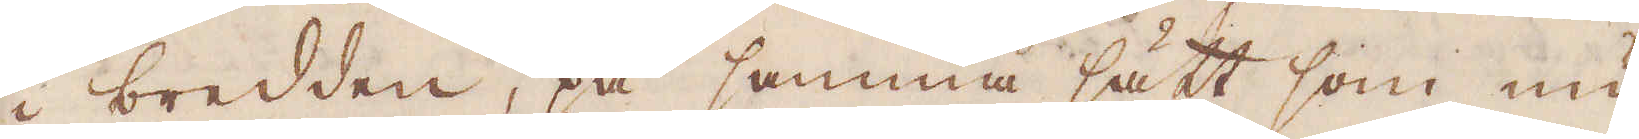i bredden, på samma sätt som nu
